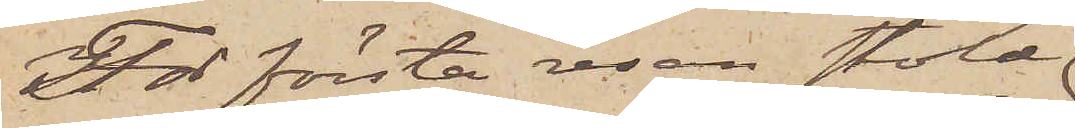För första resan stöld
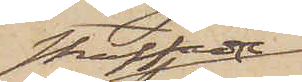straffade
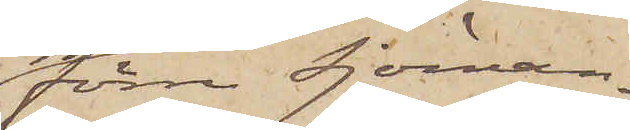förre Sjöman¬
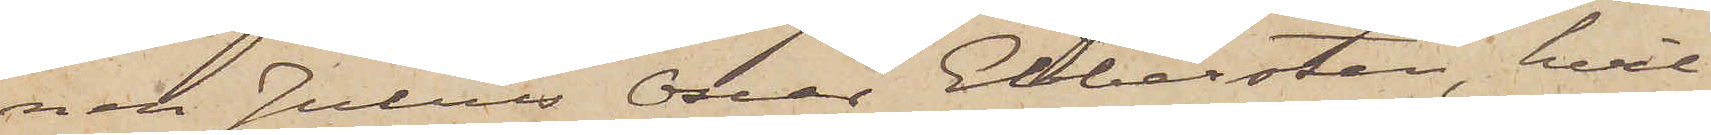nen Julius Oscar Ebbersten, hvil¬
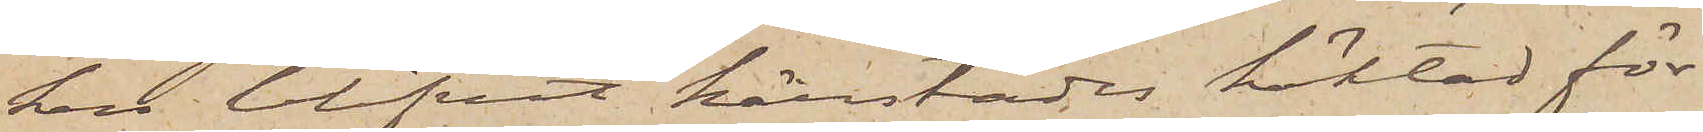ken blifvit härstädes häktad för
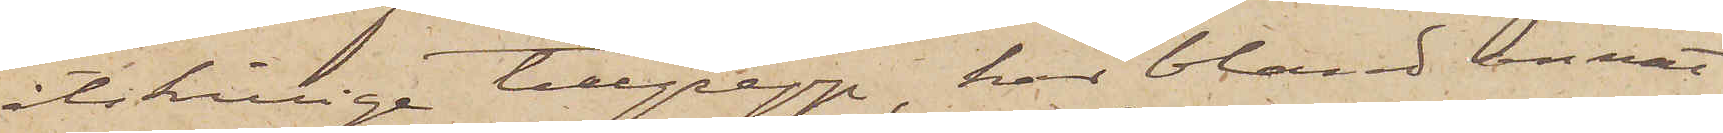åtskilliga tillgrepp, har bland annat
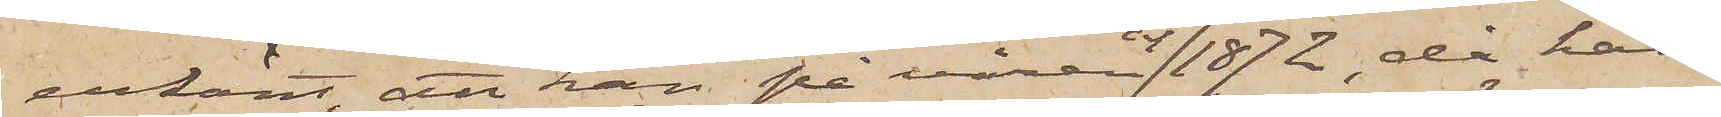erkänt, att han på våren år 1872, då han
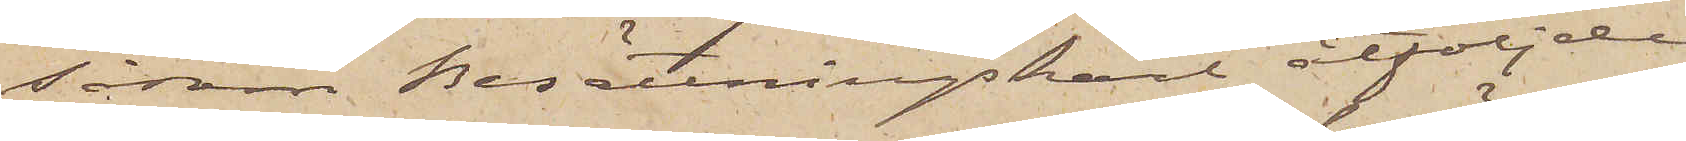såsom Besättningskarl åtföljde
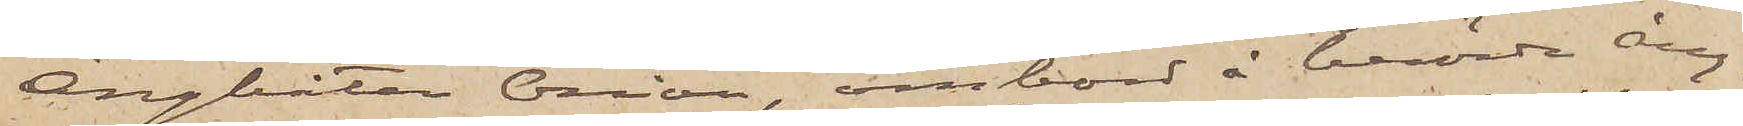Ångbåten Orion, ombord å berörde ång¬
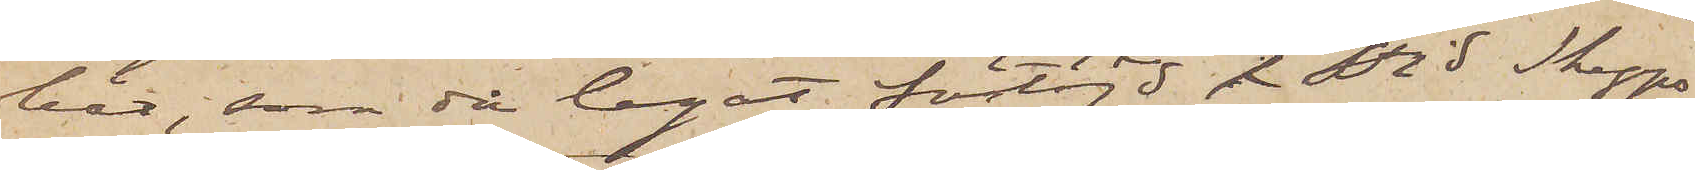båt, som då legat förtöjdt i vid Skepps¬
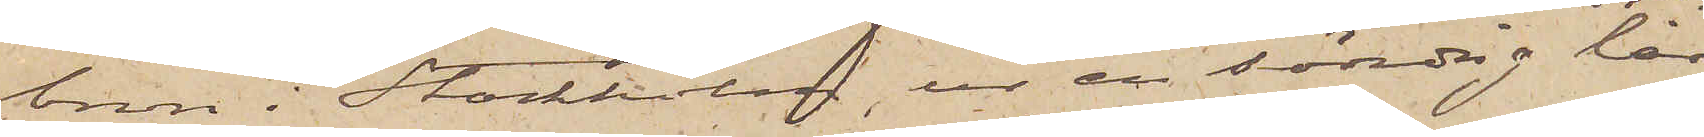bron i Stockholm, ur en söndrig lår,
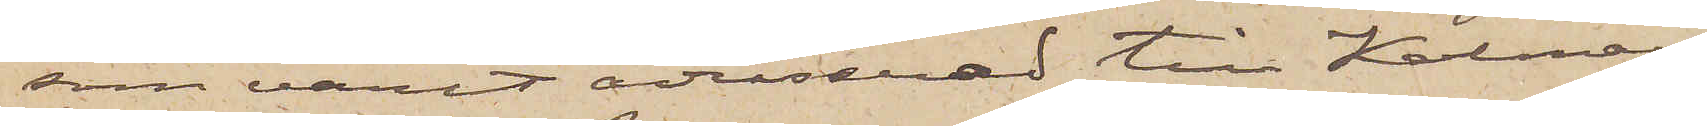som varit adresserad till Kalmar,
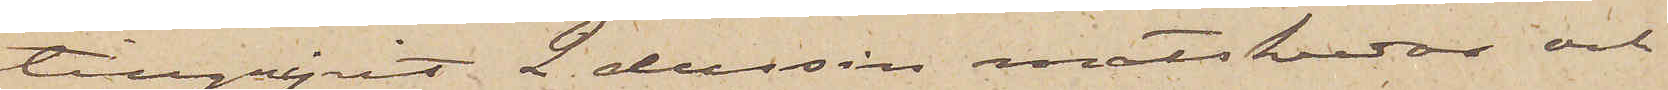tillgripit 2 dussin matskedar och
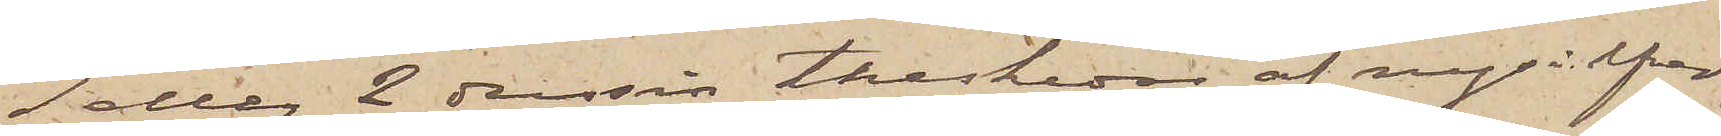1 eller 2 dussin theskedar af nysilfver;
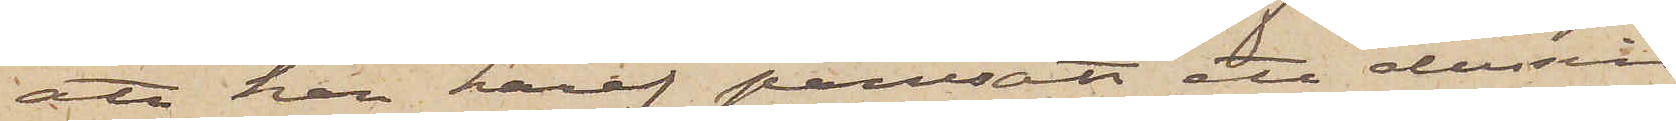att han häraf pantsatt ett dussin
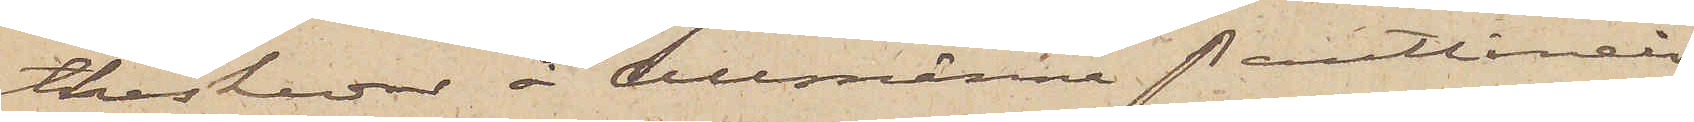theskedar å Allmänna Pantlånein¬
